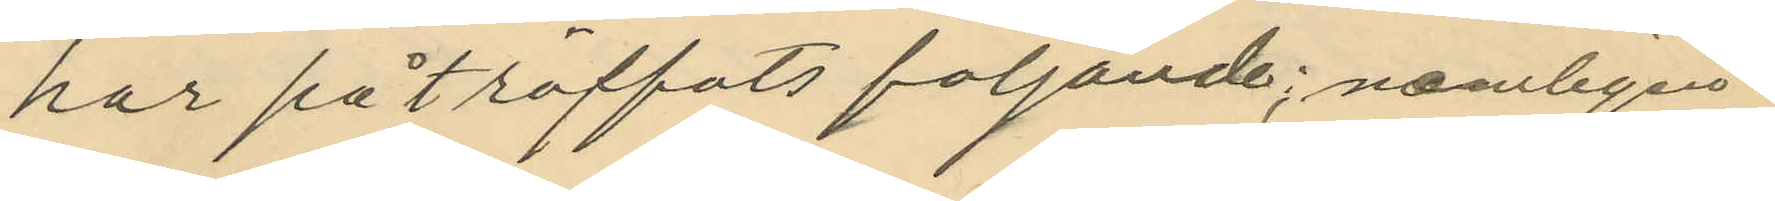har på träffats följande; nemligen
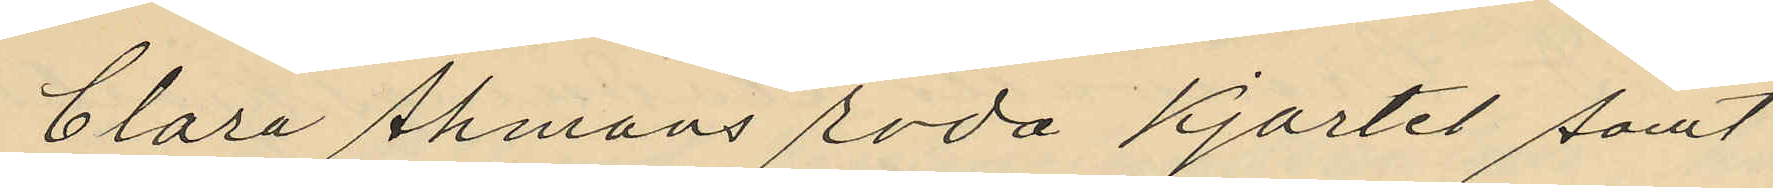Clara Åhmans röda kjortel samt
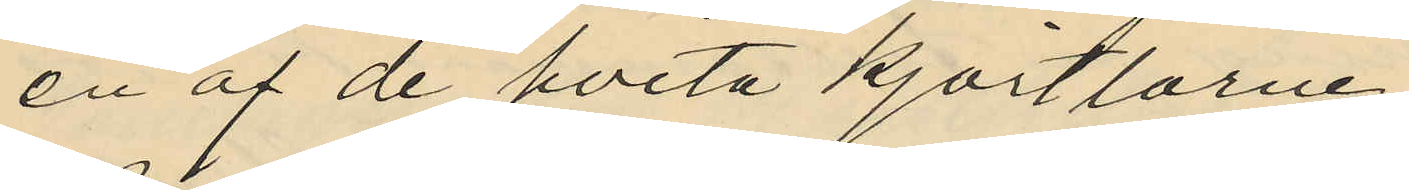en af de hvita kjortlarne
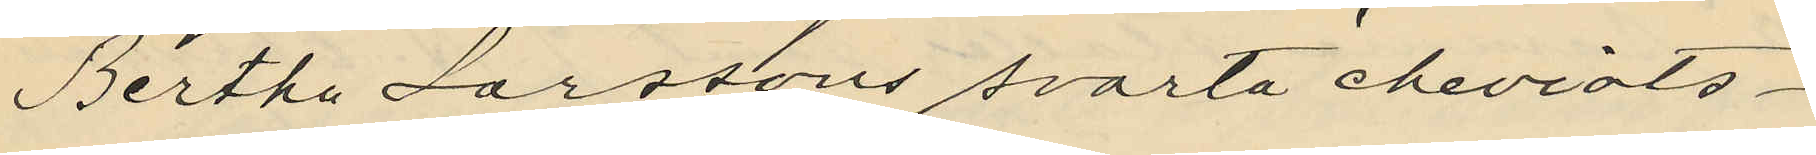Bertha Larssons svarta cheviots¬
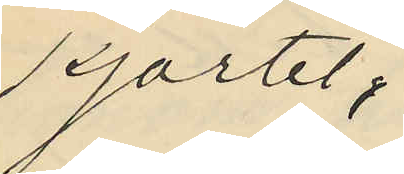kjortel;
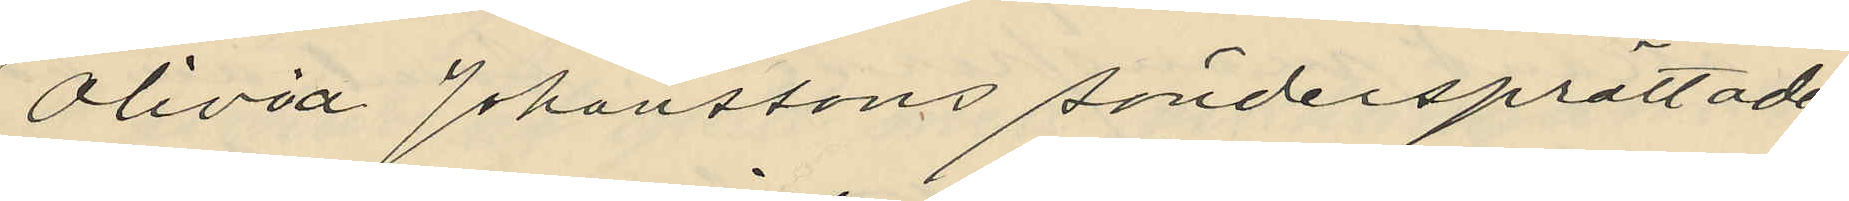Olivid Johanssons söndersprättade
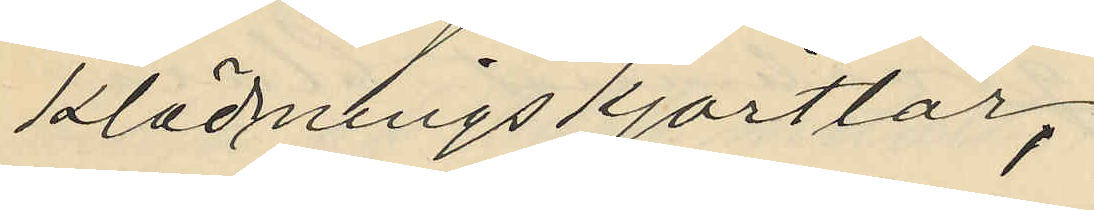klädningskjortlar,
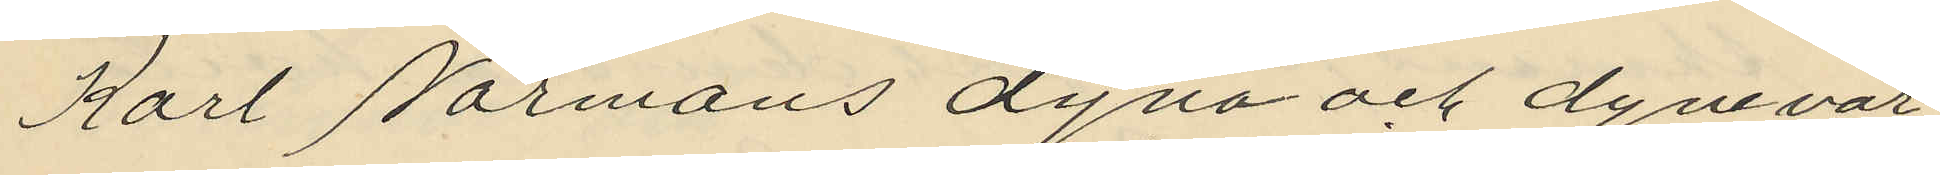Karl Normans dyna och dynevar
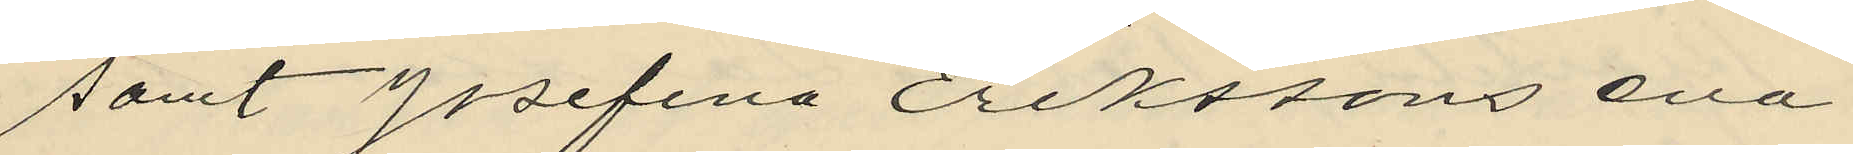samt Josefina Erikssons ena
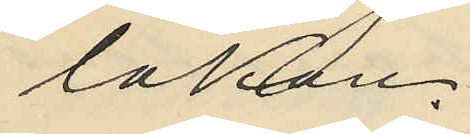lakan.
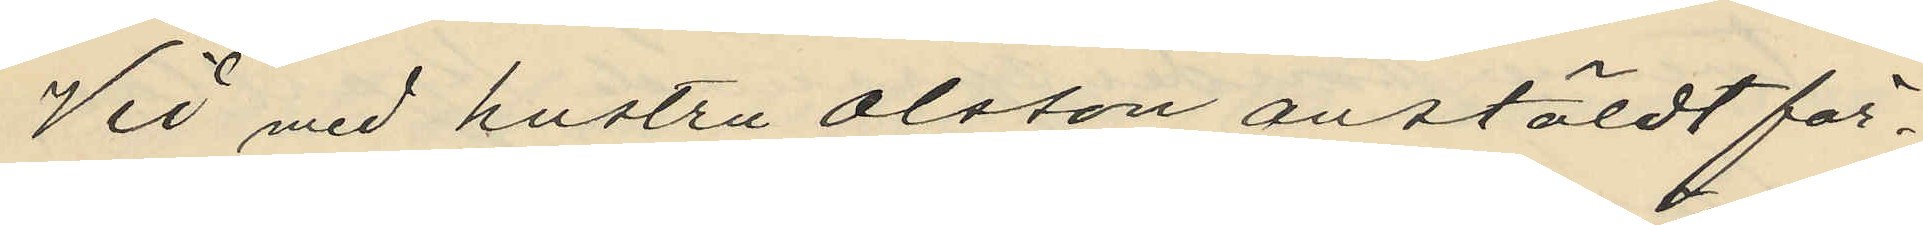Vid med hustru Olsson anstäldt för¬
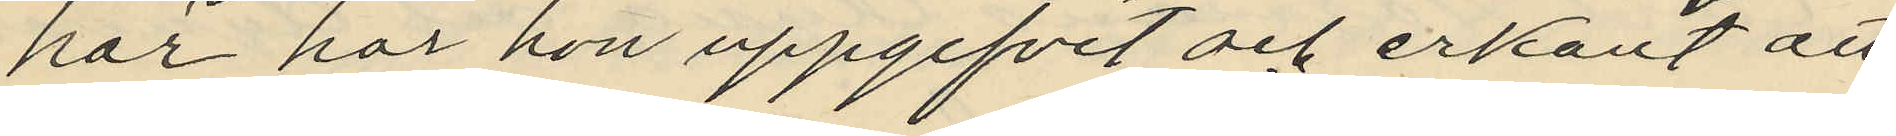hör har hon uppgifvit och erkänt att
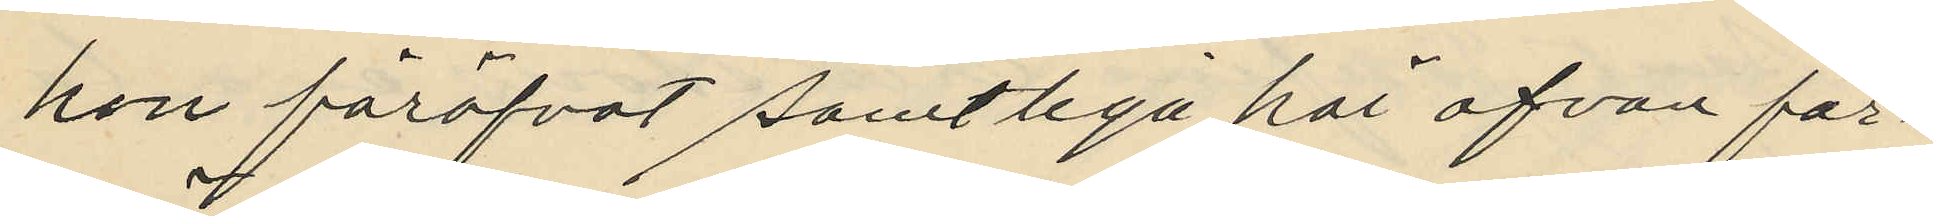hon föröfvat samtliga här ofvan för¬
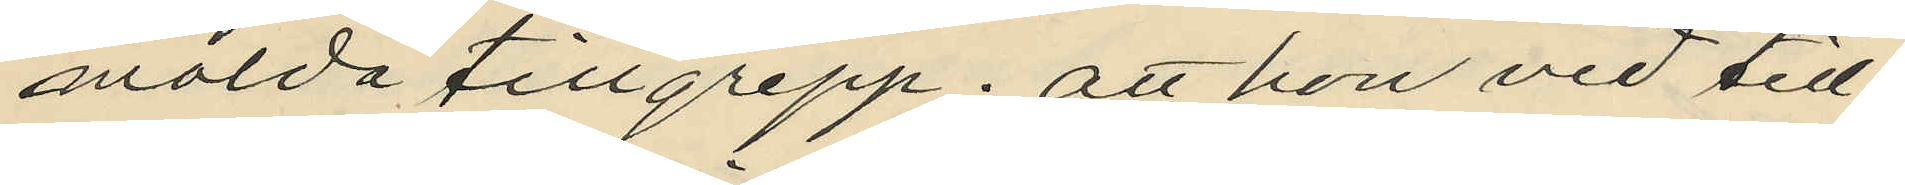mälda tillgrepp; att hon vid till
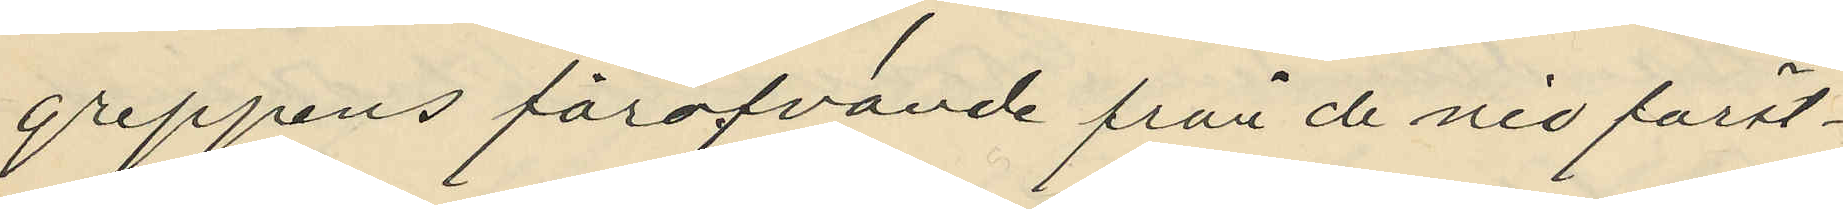greppens föröfvande från de nio först¬
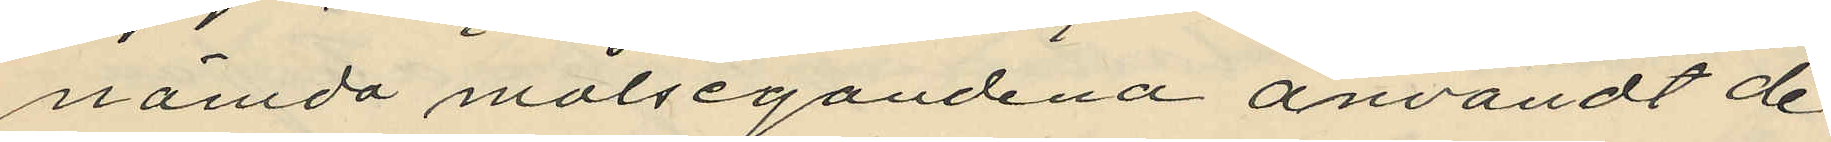nämda målsegandena användt de
